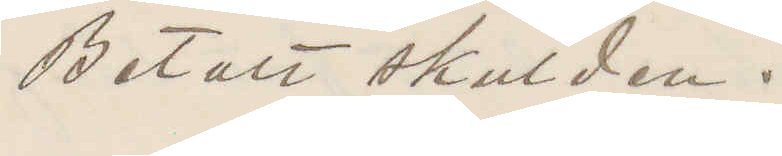Betalt skulden.
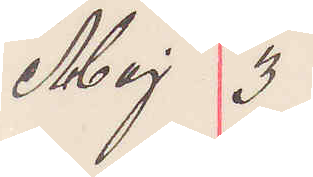Maj 3
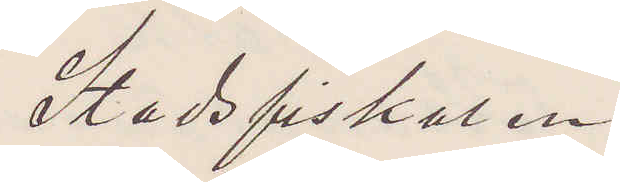Stadsfiskalen
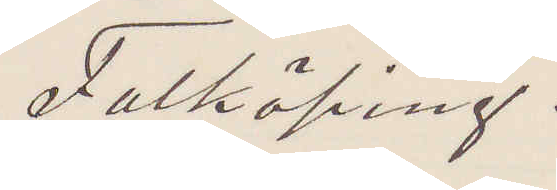Falköping.
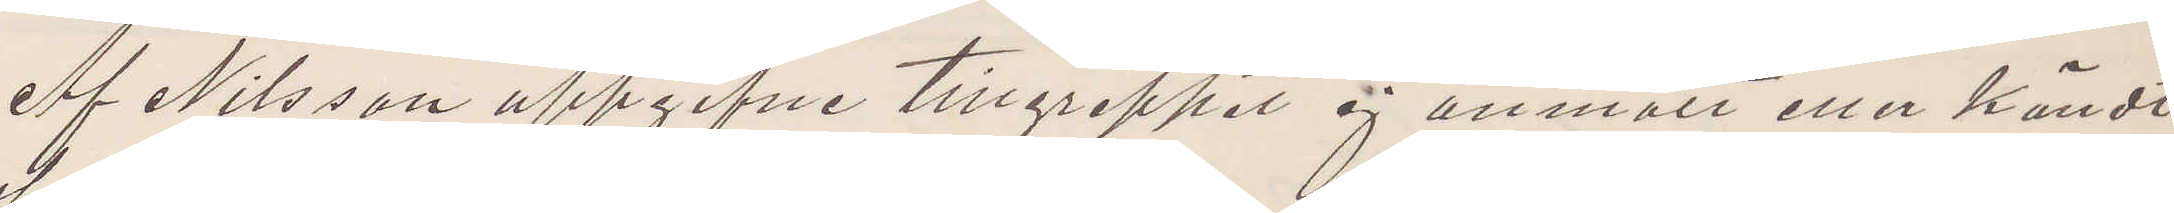Af Nilsson uppgifne tillgreppet ej anmält eller kändt
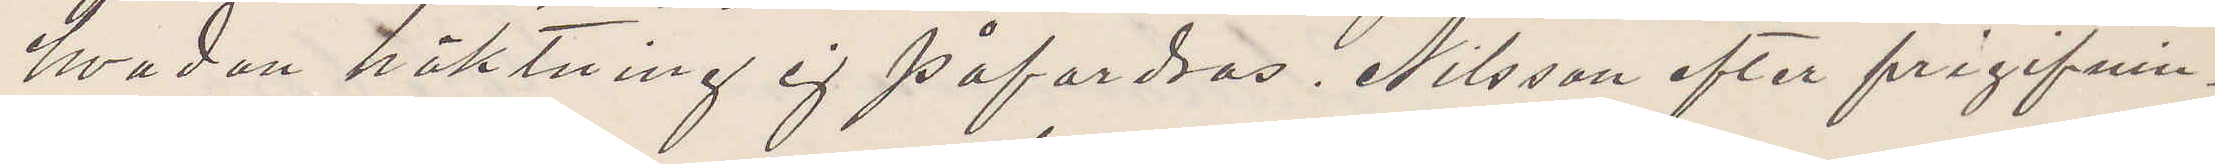hvadan häktning ej påfordras. Nilsson efter frigifnin¬
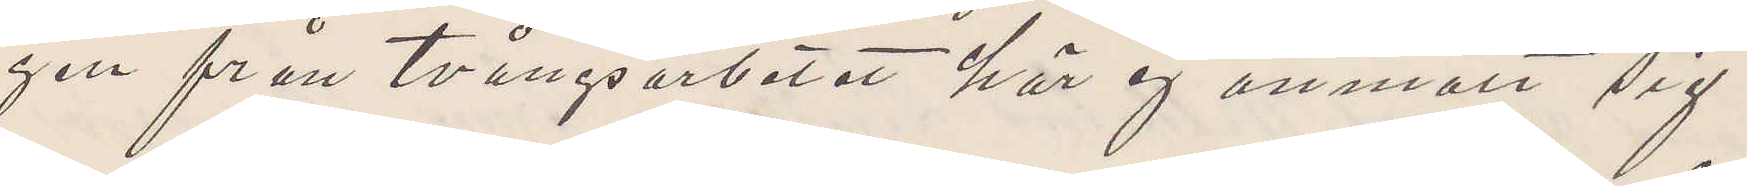gen från tvångsarbetet här ej anmält sig.
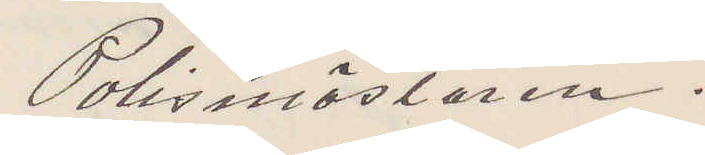Polismästaren.
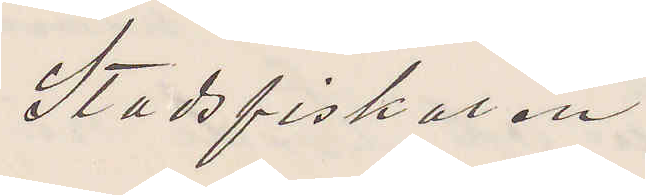Stadsfiskalen
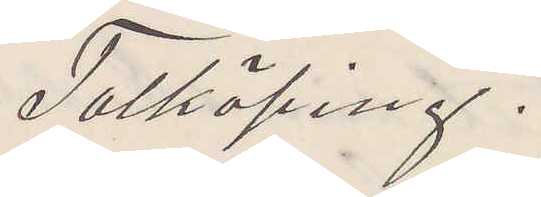Falköping.
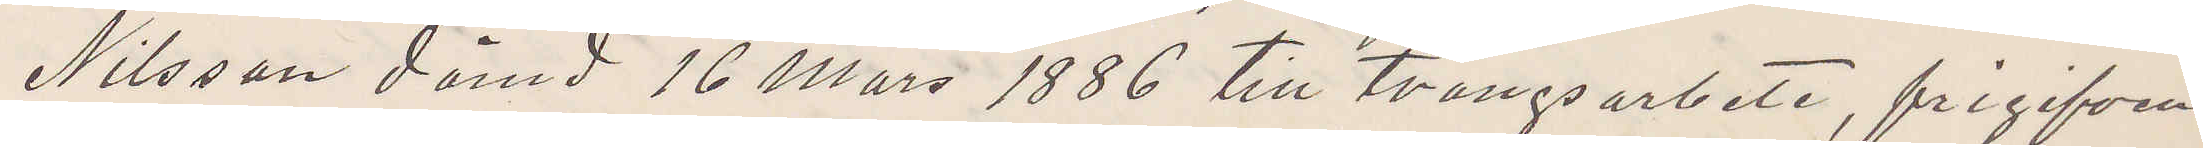Nilsson dömd 16 Mars 1886 till tvångsarbete, frigifven
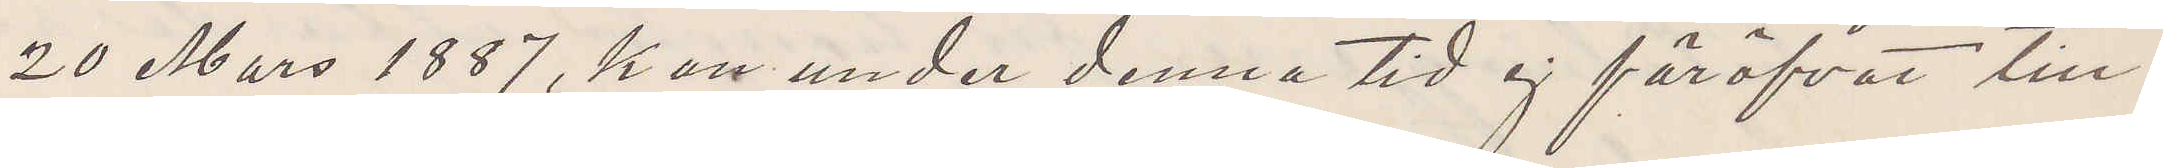20 Mars 1887, han under denna tid ej föröfvat till¬
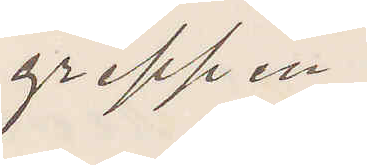greppen.
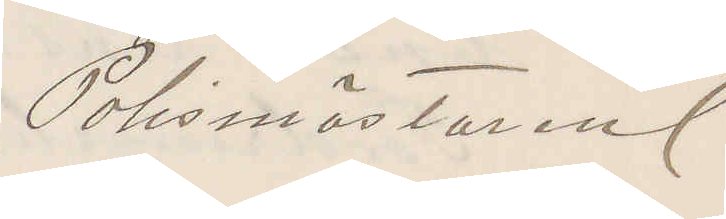Polismästaren
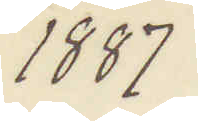1887
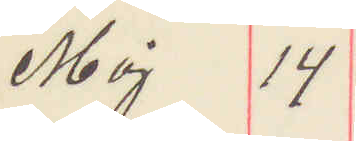Maj 14
